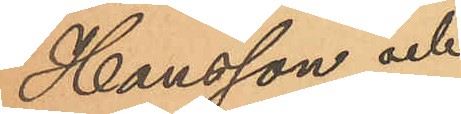Hansson och
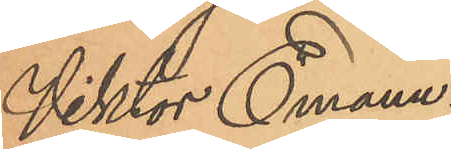Viktor Emanu¬
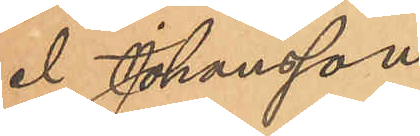el Johansson
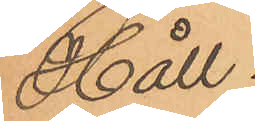Håll.
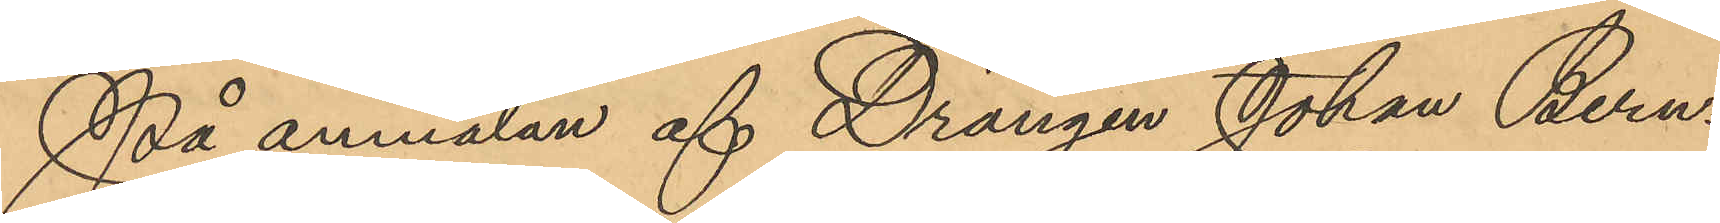På anmälan af Drängen Johan Bern¬
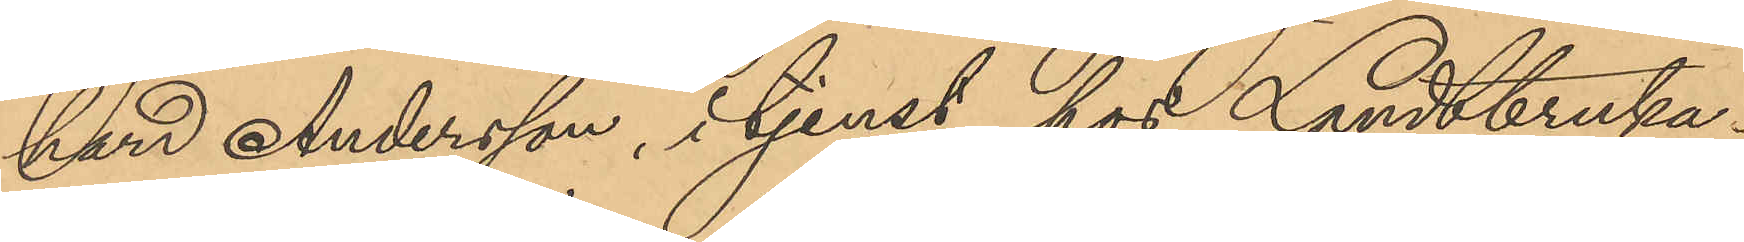hard Andersson, i tjenst hos Landtbruka¬
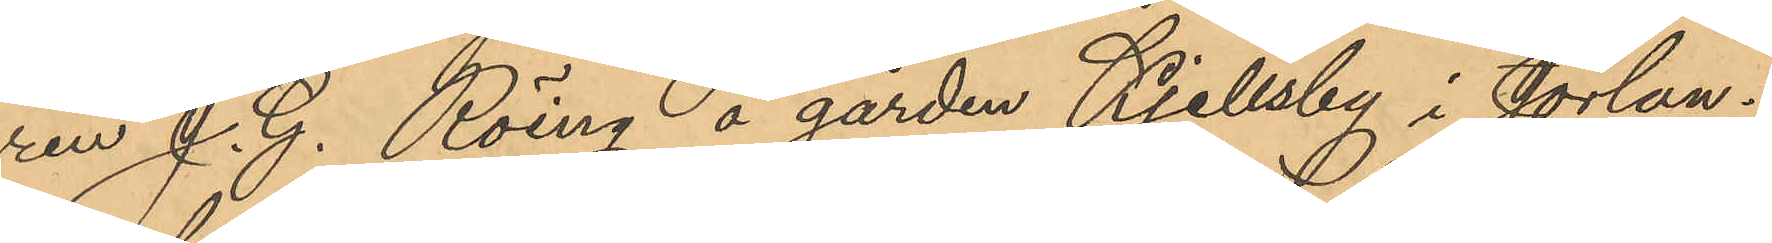ren J. G. Röing å gården Kjellsby i Jörlan¬
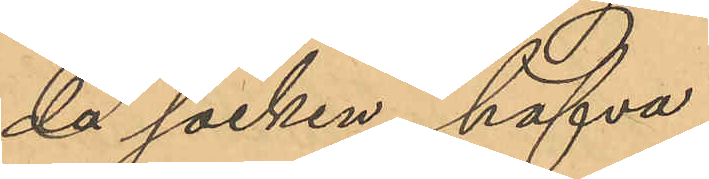da socken hafva
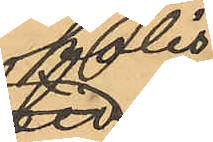polis¬
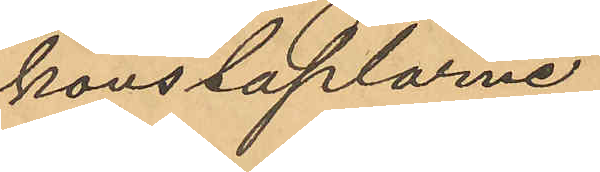konstaplarne
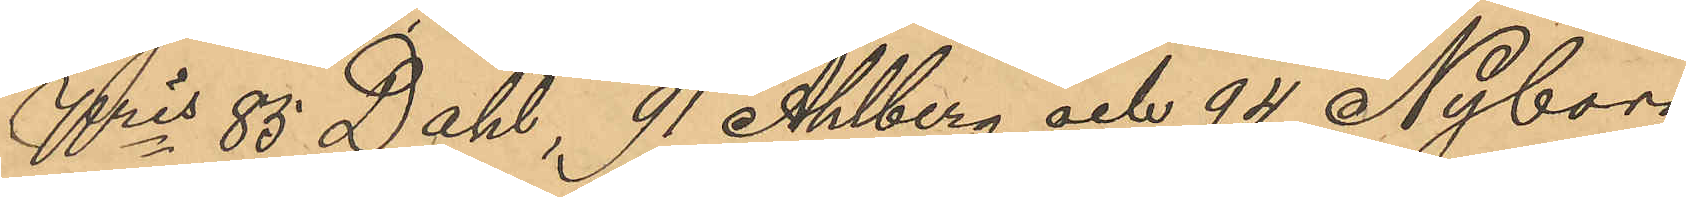Nris 85 Dahl, 91 Ahlberg och 94 Nyborg,
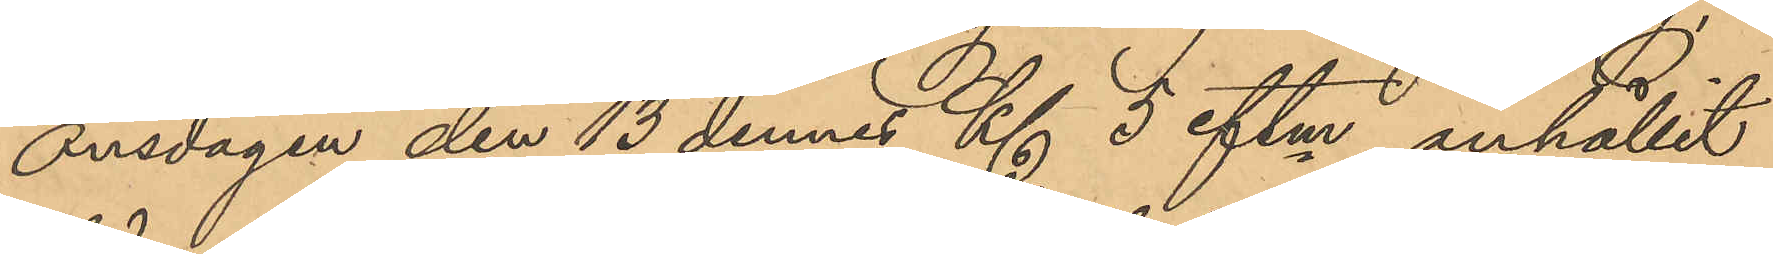onsdagen den 13 dennes Kl. 5 eftm anhållit
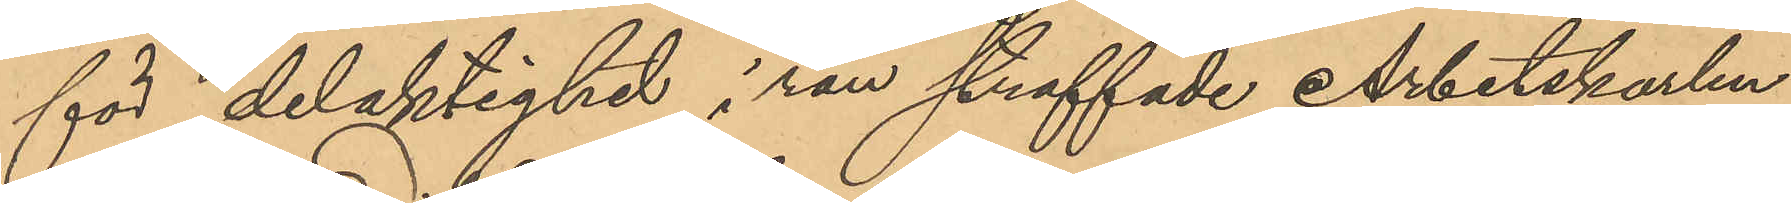för delaktighet i rån straffade Arbetskarlen
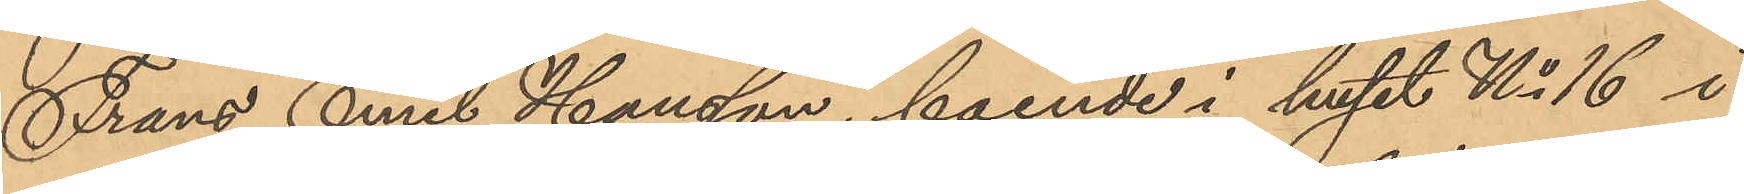Frans Emil Hansson, boende i huset No 16 i
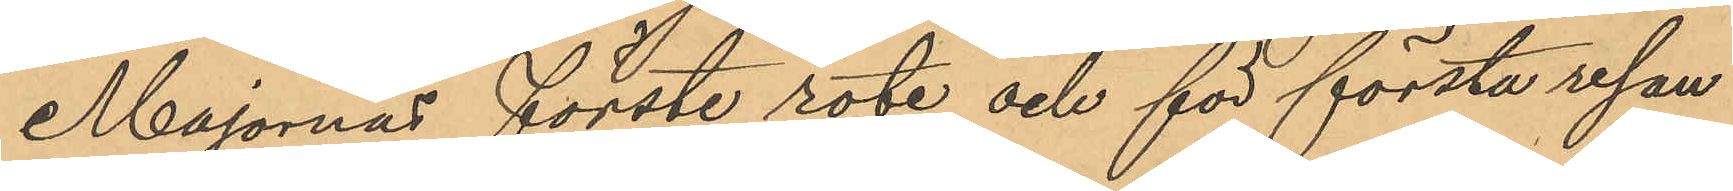Majornas förste rote och för första resan
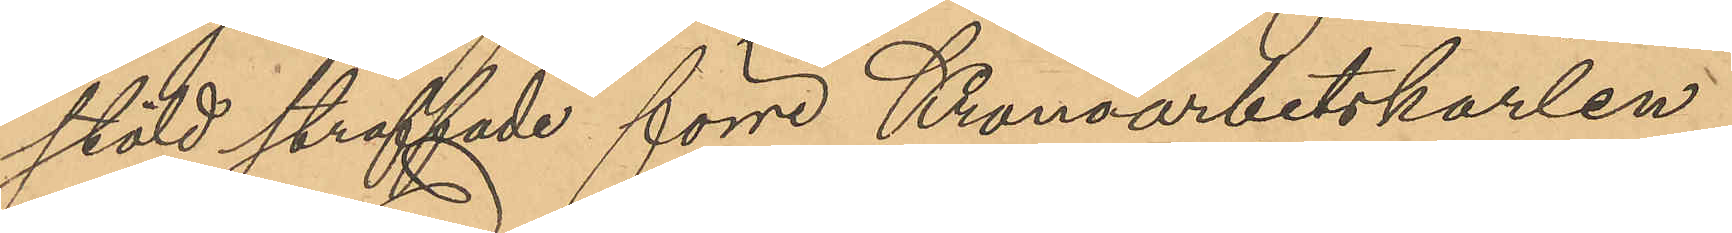stöld straffade förre Kronoarbetskarlen
